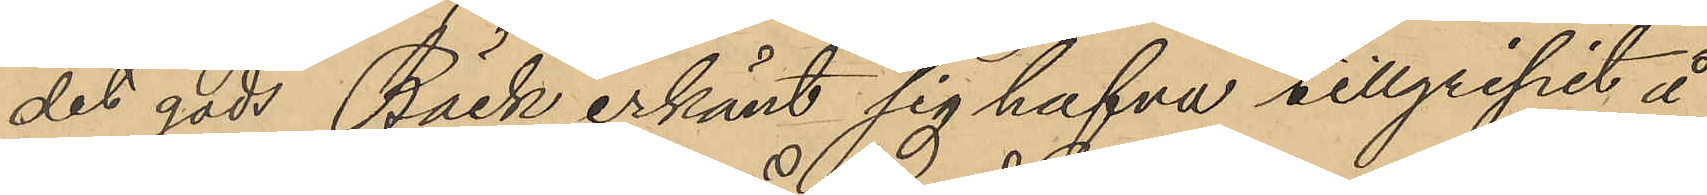det gods Bäck erkänt sig hafva tillgripit å
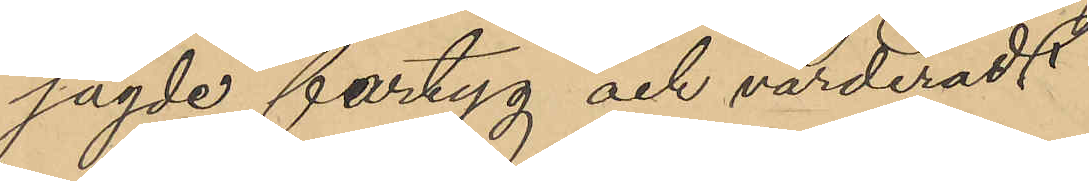sagde fartyg och värderadt
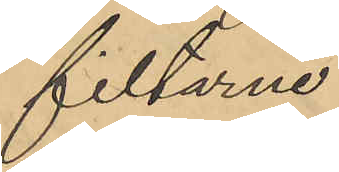filtarne
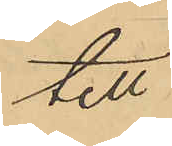till
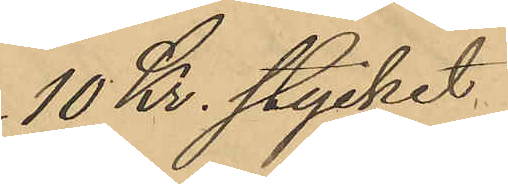10 Kr. stycket
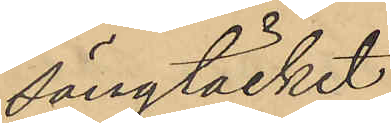sängtäcket
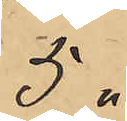5 "
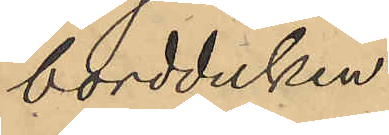bordduken
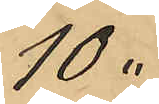10 "
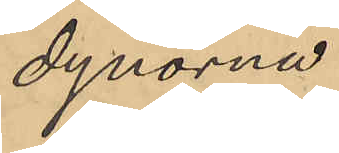dynorna
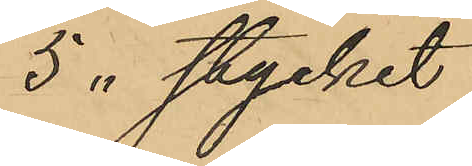5 " stycket
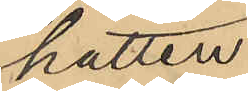hatten
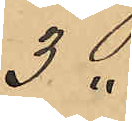3 "
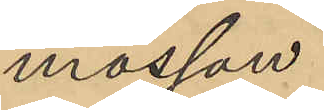mössan
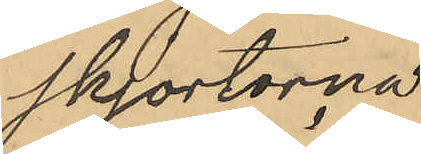skjortorna
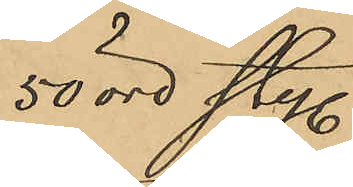50 öre sty.
